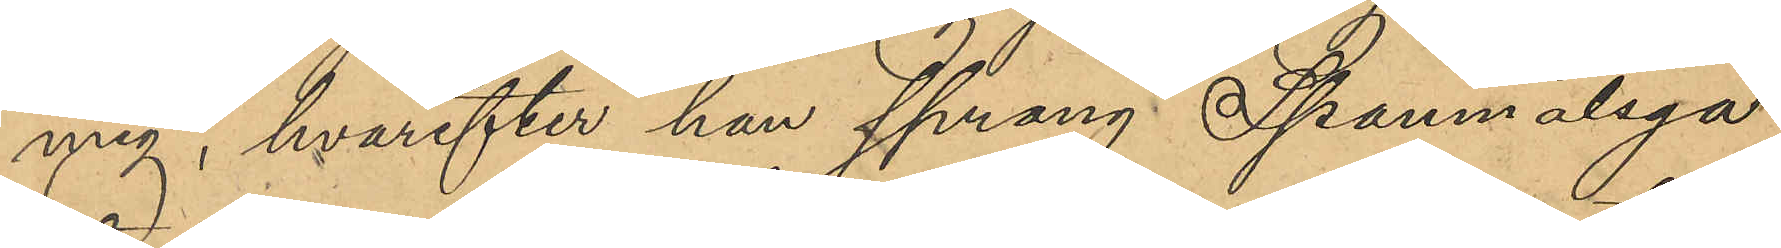mig, hvarefter han sprang Spannmålsga¬
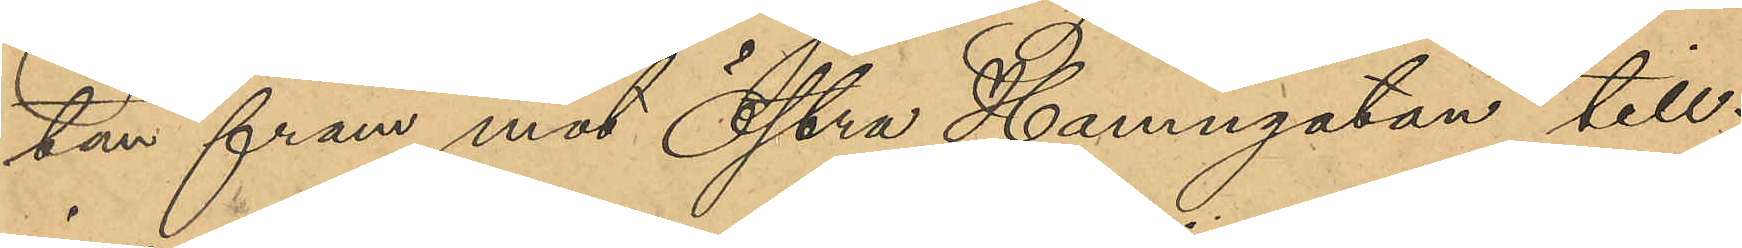tan fram mot Östra Hamngatan till;
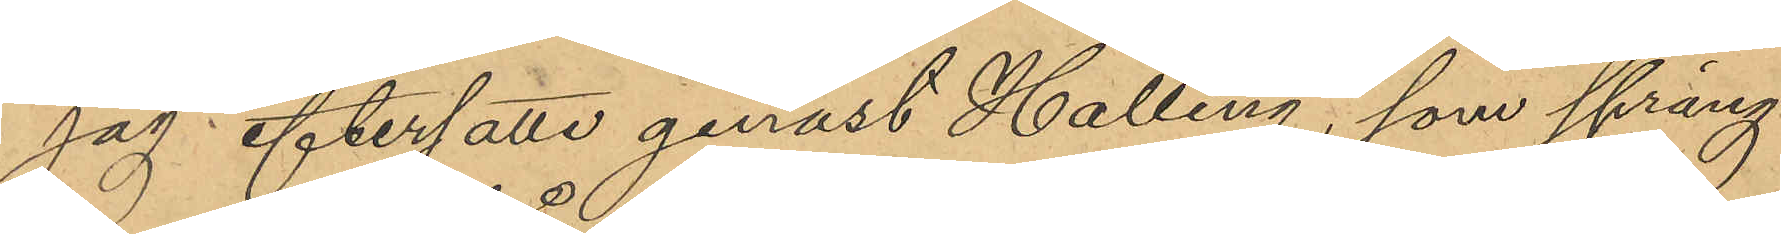jag eftersatte genast Halling, som sprang
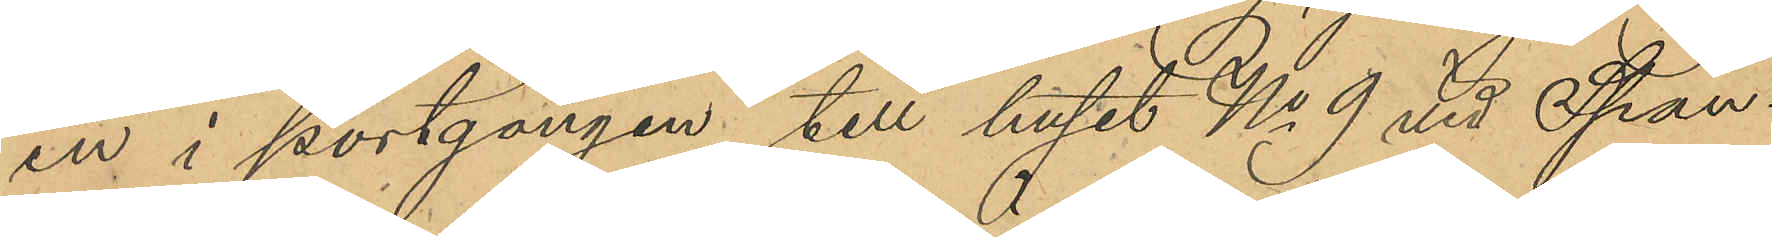in i portgången till huset No 9 vid Spann¬
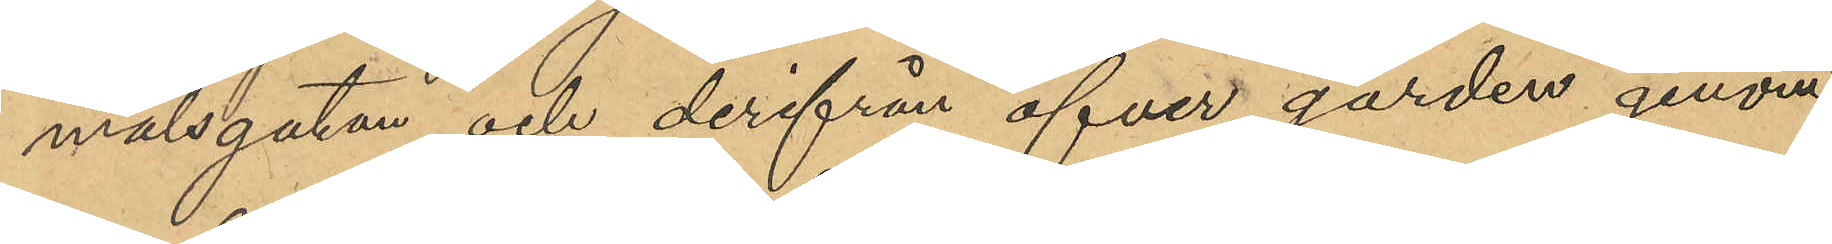målsgatan och derifrån öfver gården genom
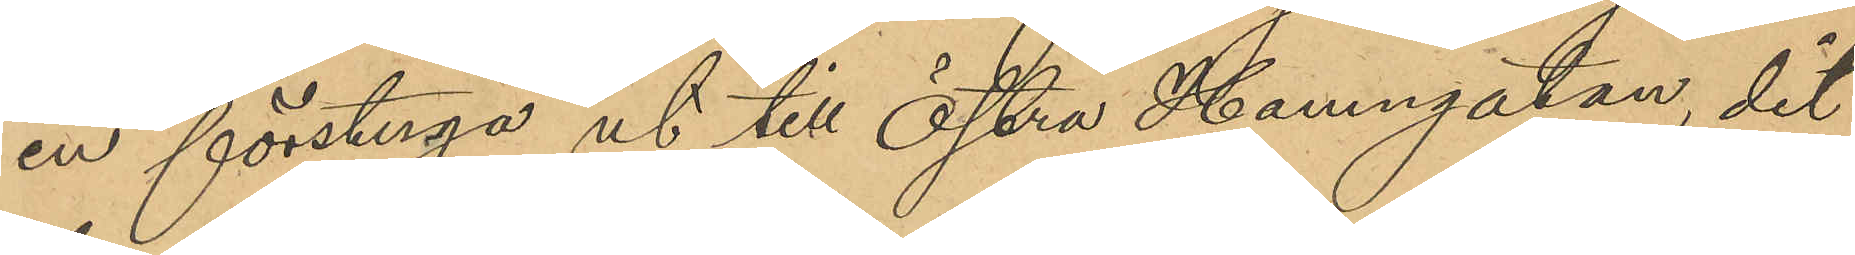en förstuga ut till Östra Hamngatan, dit
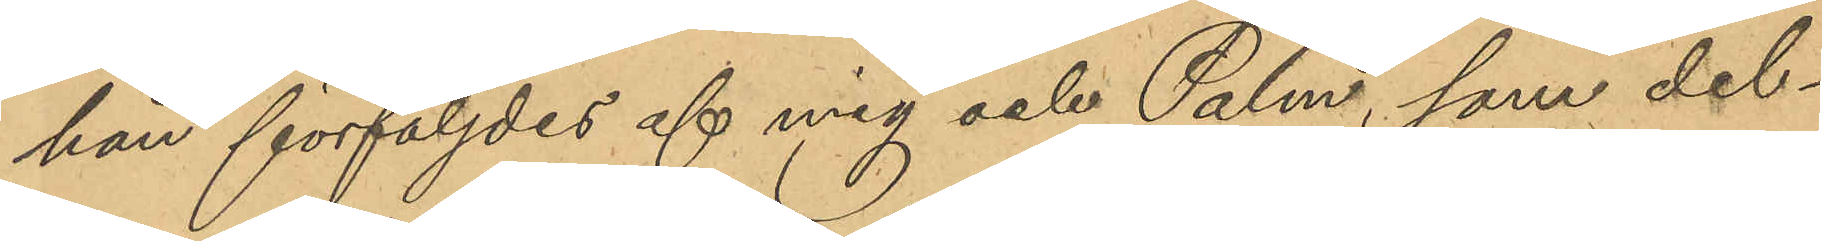han förföljdes af mig och Palm, som del¬
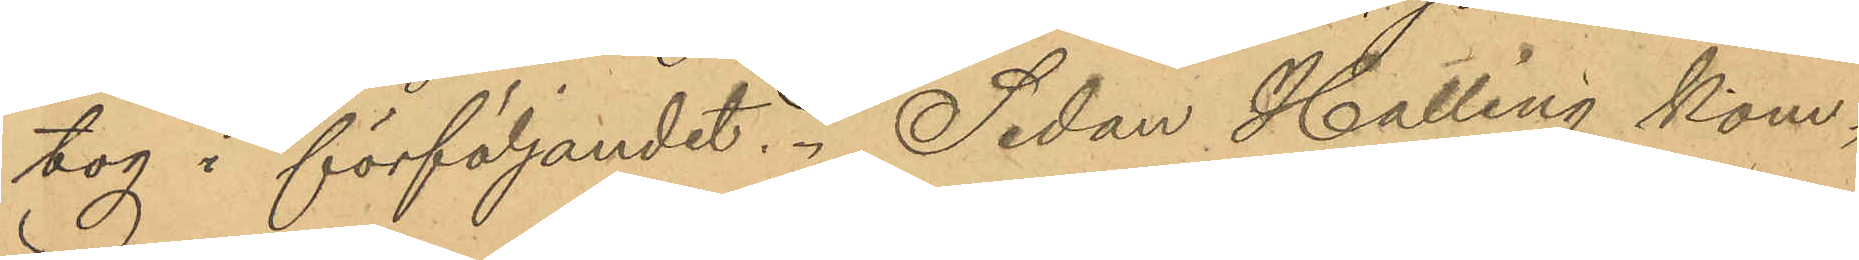tog i förföljandet. Sedan Halling kom¬
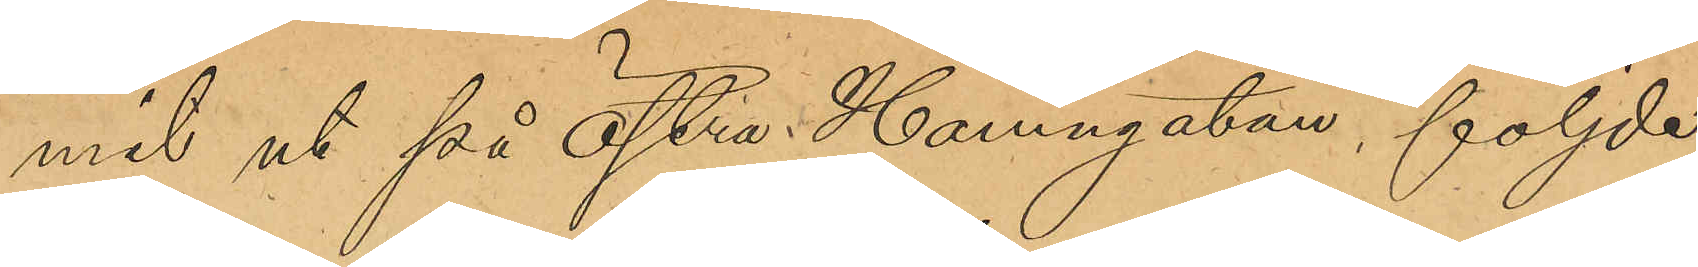mit ut på Östra Hamngatan följde
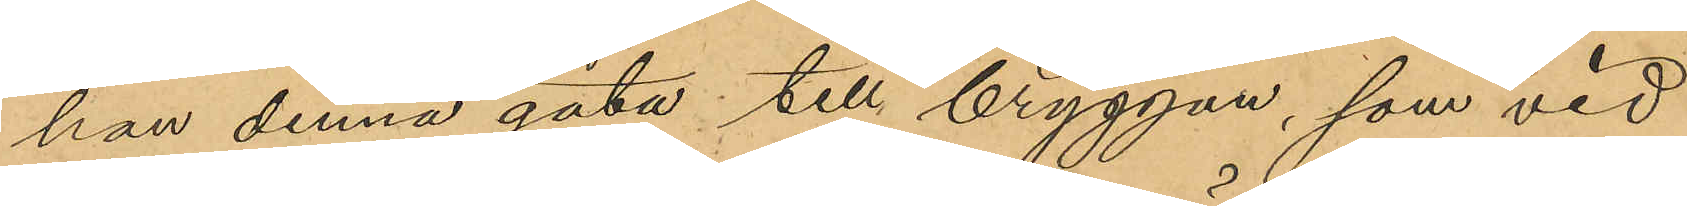han denna gata till bryggan, som vid
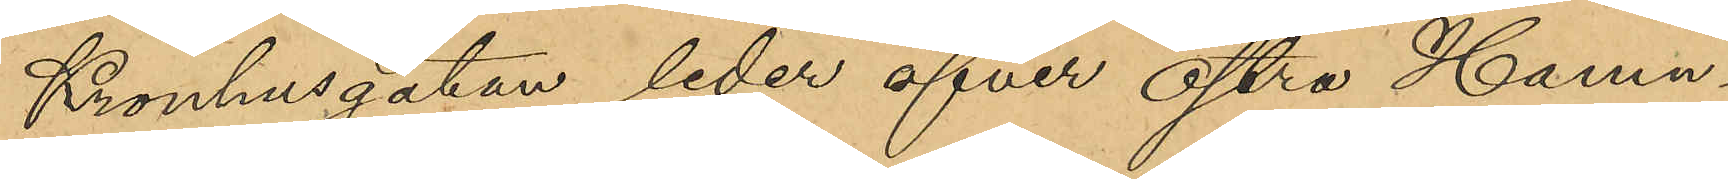Kronhusgatan leder öfver Östra Hamn¬
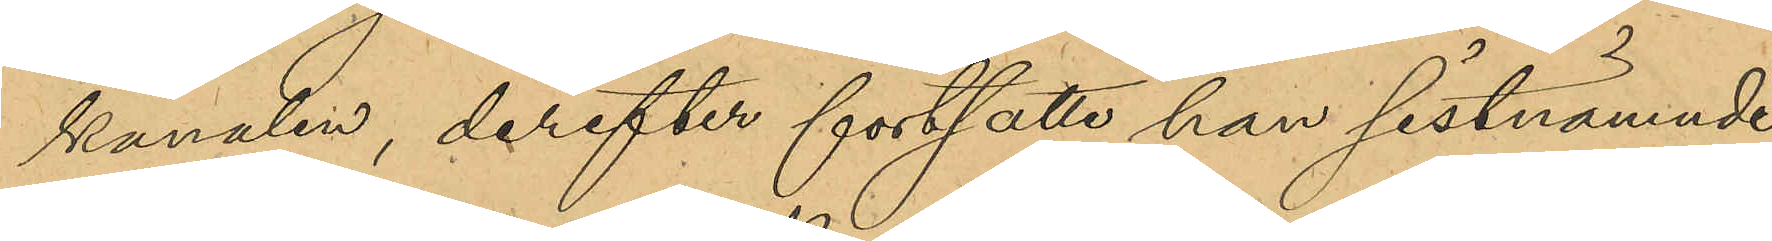kanalen, derefter fortsatte han sistnämnde
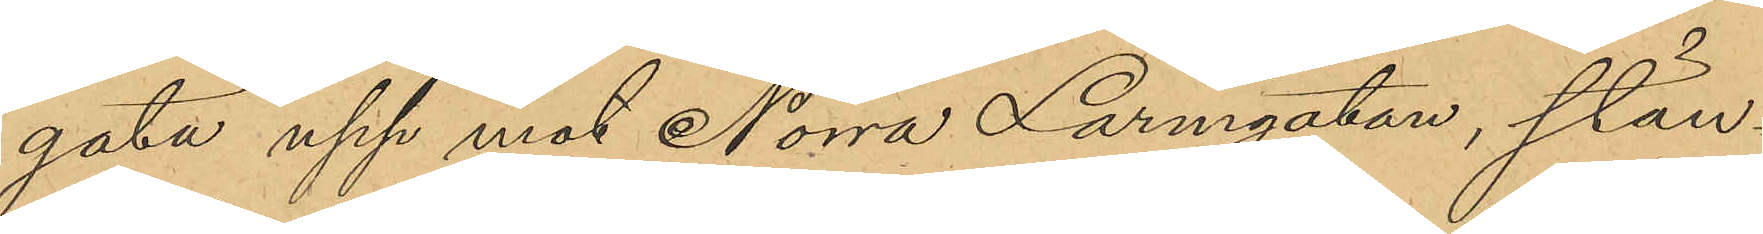gata upp mot Norra Larmgatan, stän¬
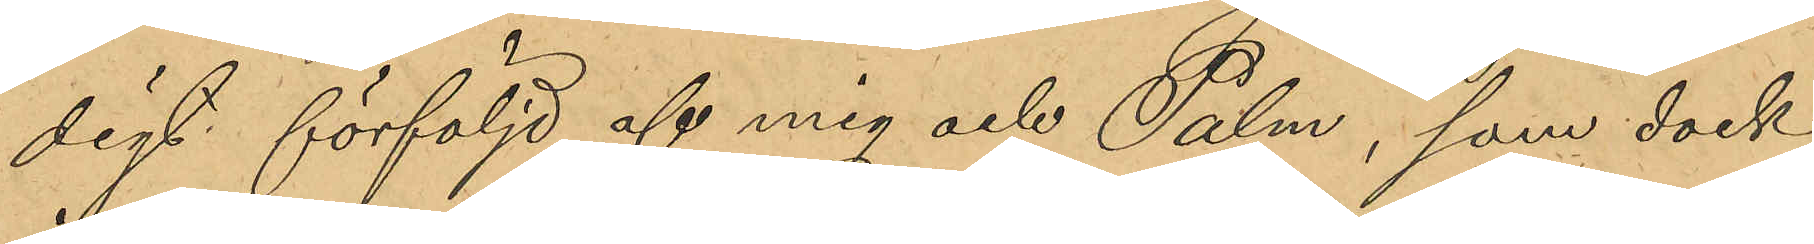digt förföljd af mig och Palm, som dock
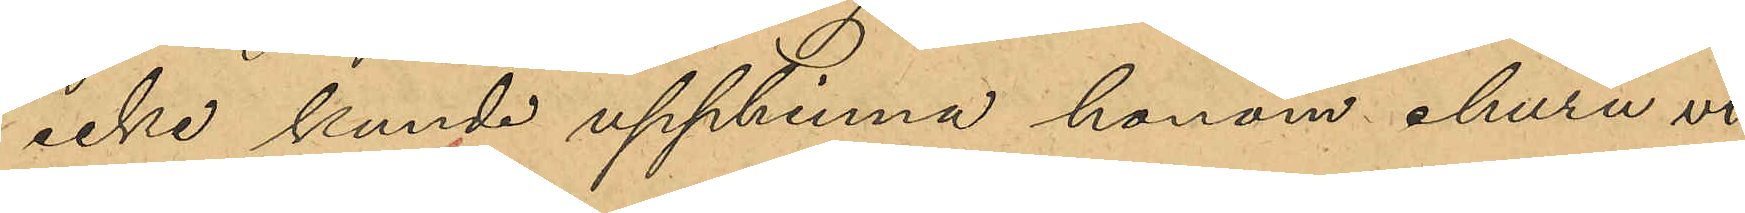icke kunde upphinna honom ehuru vi
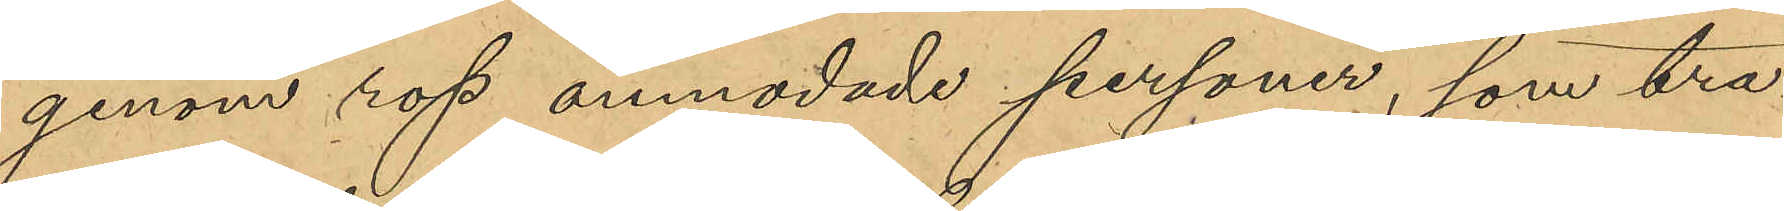genom rop anmodade personer, som tra¬
